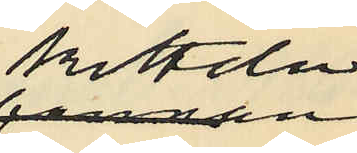kitteln
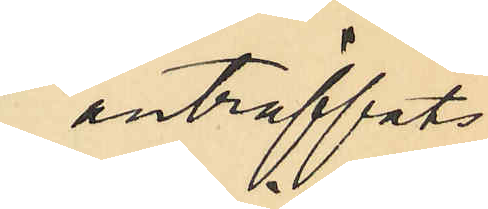anträffats
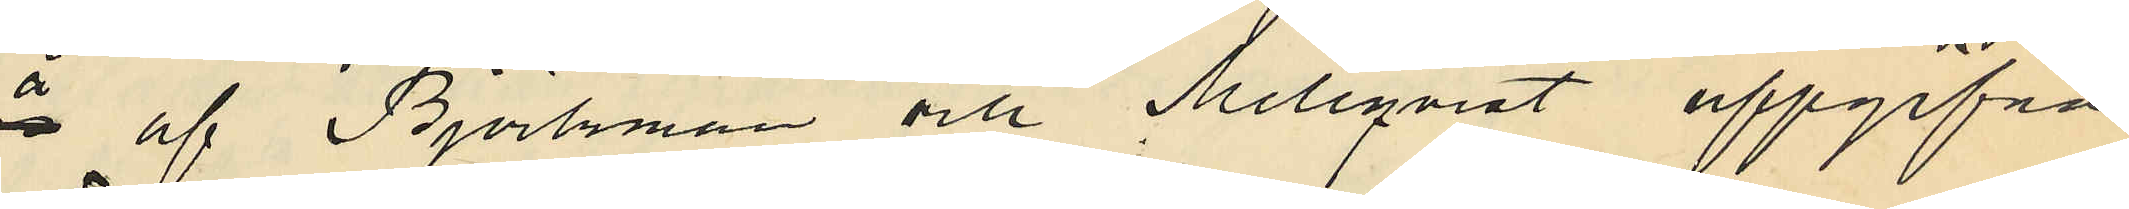å af Björkman och Mellqvist uppgifna
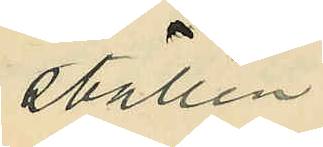ställen.
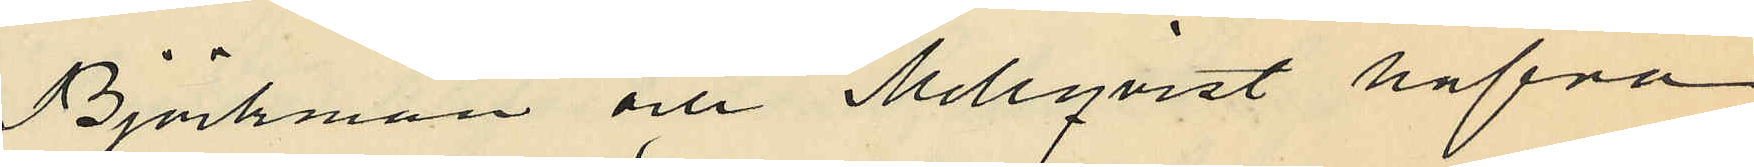Björkman och Mellqvist hafva
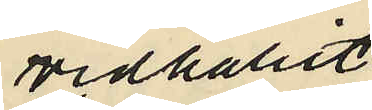vidhållit
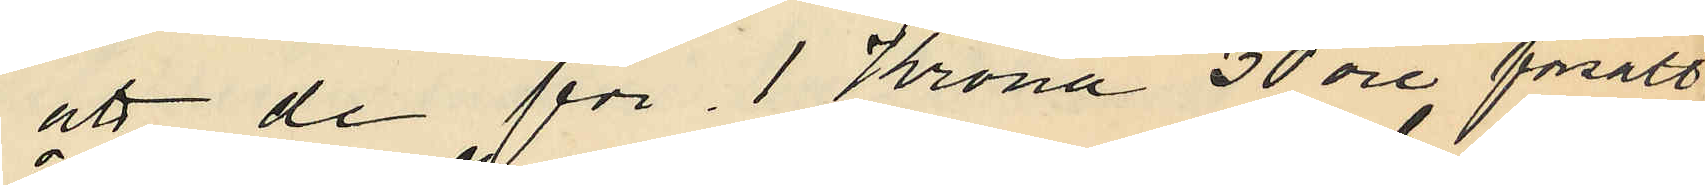att de för 1 Krona 30 öre försålt
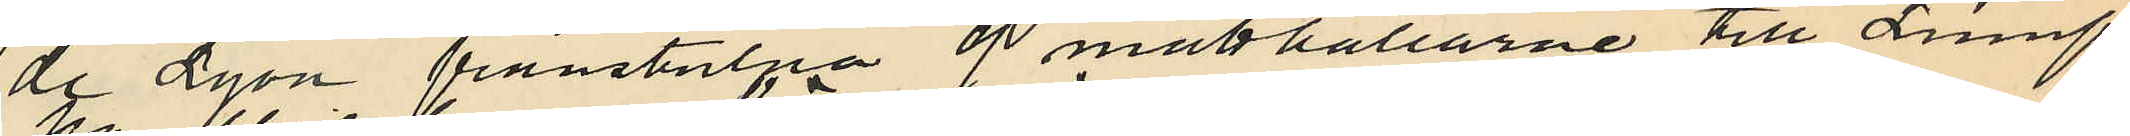de Lyon frånstulna 9 matthållarne till Lump¬
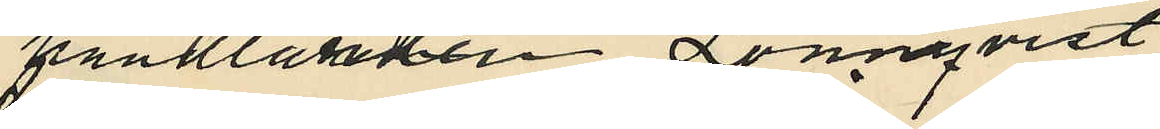handlanden Lönnqvist
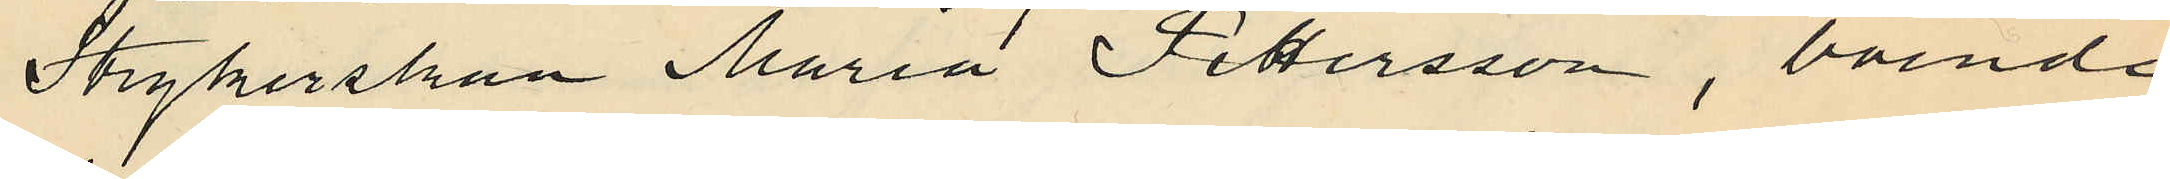Strykerskan Maria Pettersson, boende
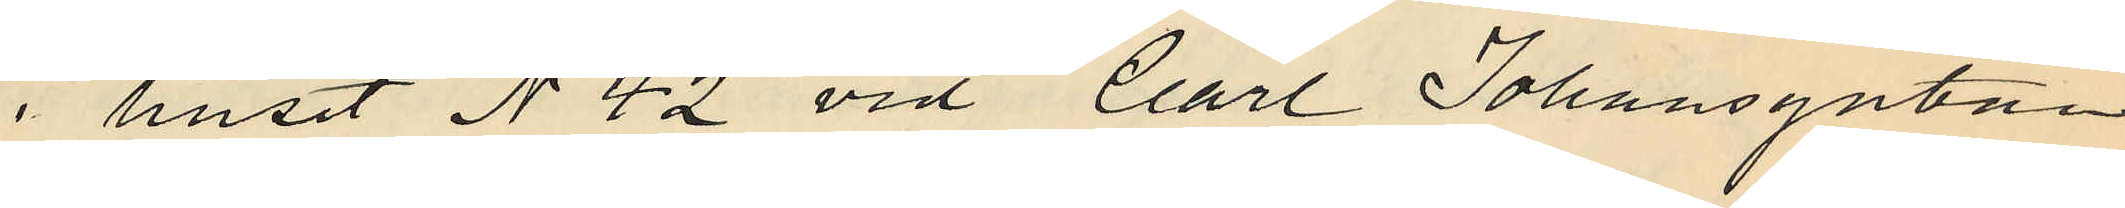i huset No 42 vid Carl Johansgatan
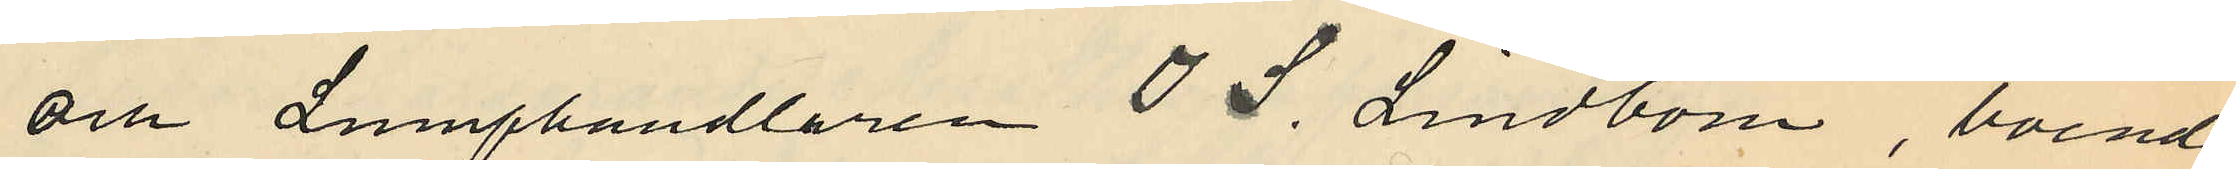och Lumphandlaren O. S. Lindbom, boende
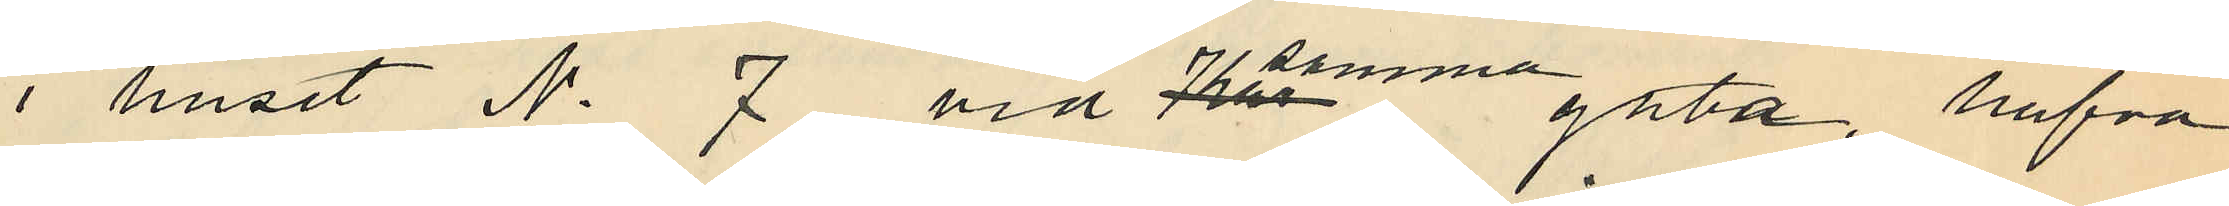i huset No 7 vid samma gata, hafva
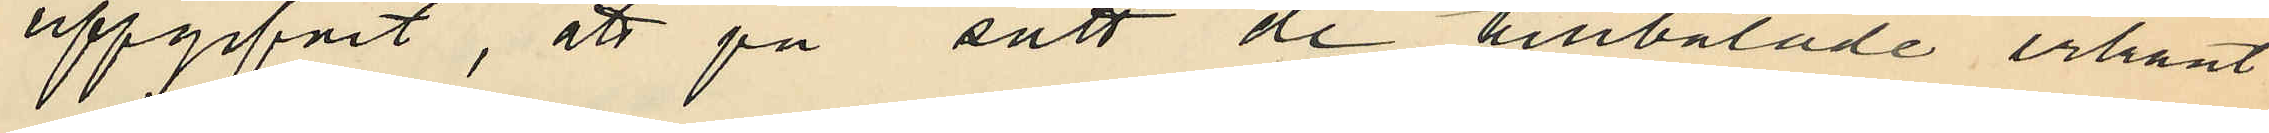uppgifvit, att på sätt de tilltalade erkänt
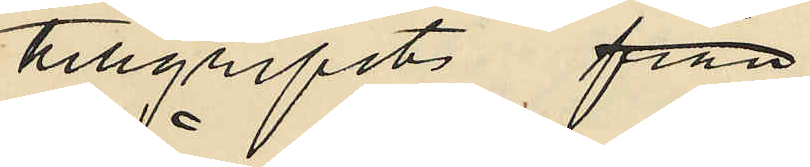tillgripits från
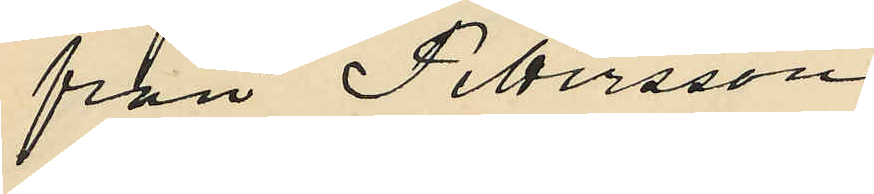från Pettersson
